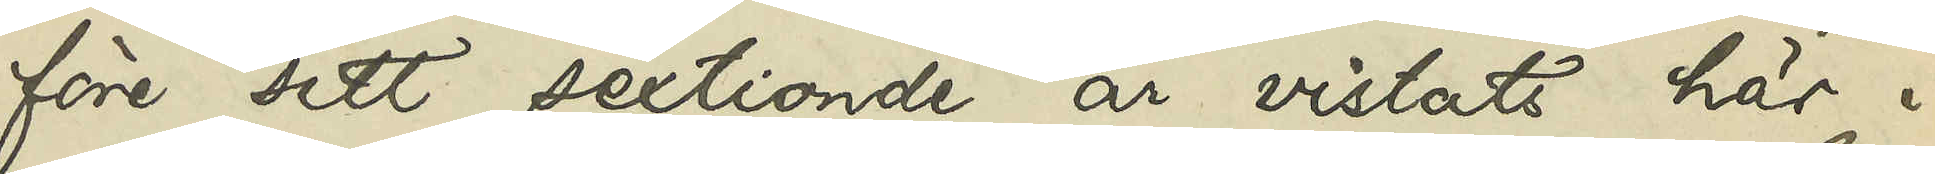före sitt sextionde år vistats här i
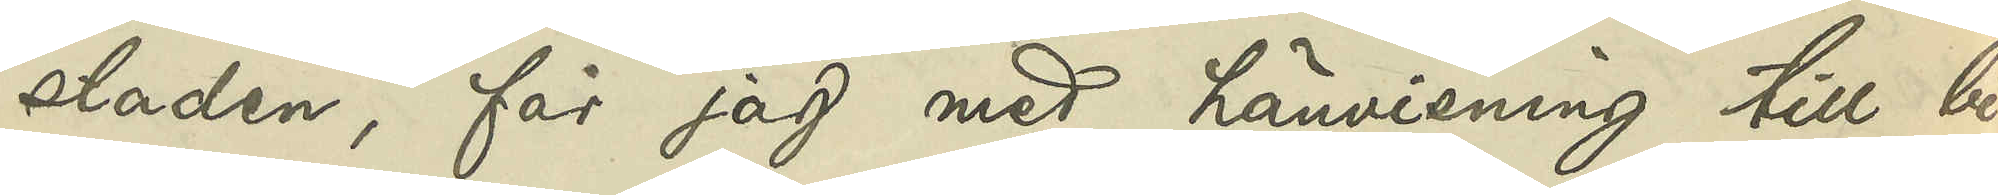staden, får jag md hänvisning till bi¬
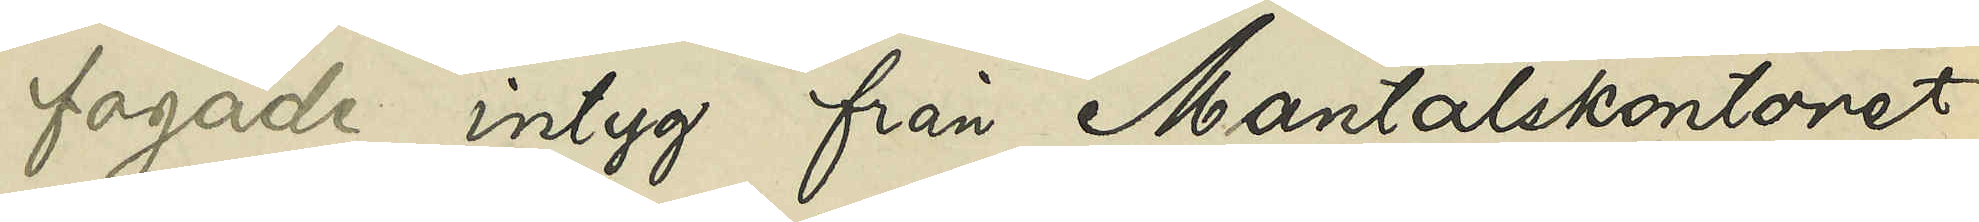fogade intyg från Mantalskontoret
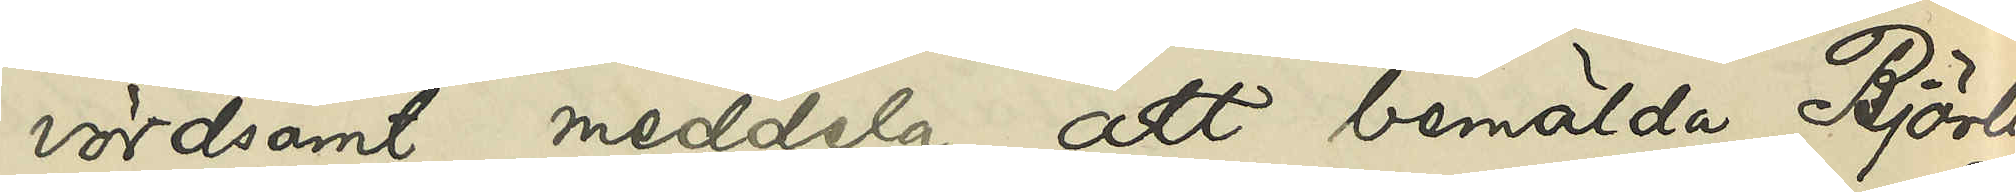vördsamt meddela, att bemälda Björlin
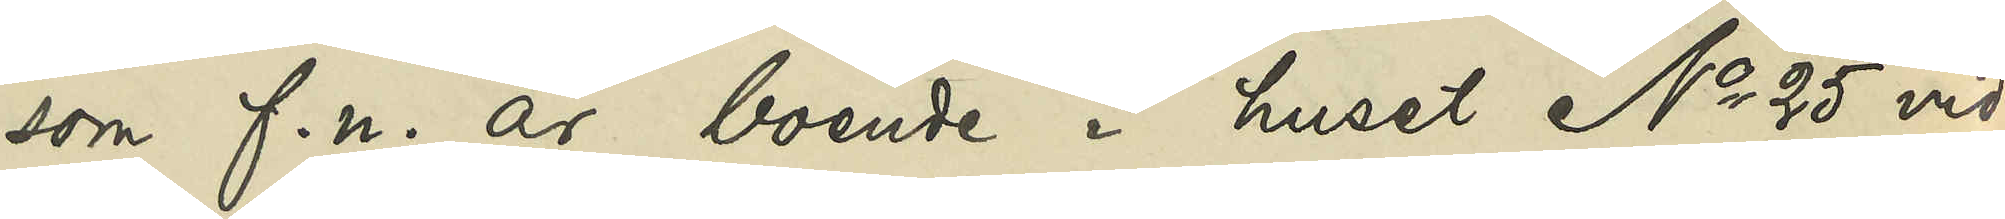som f. n. är boende i huset No 25 vid
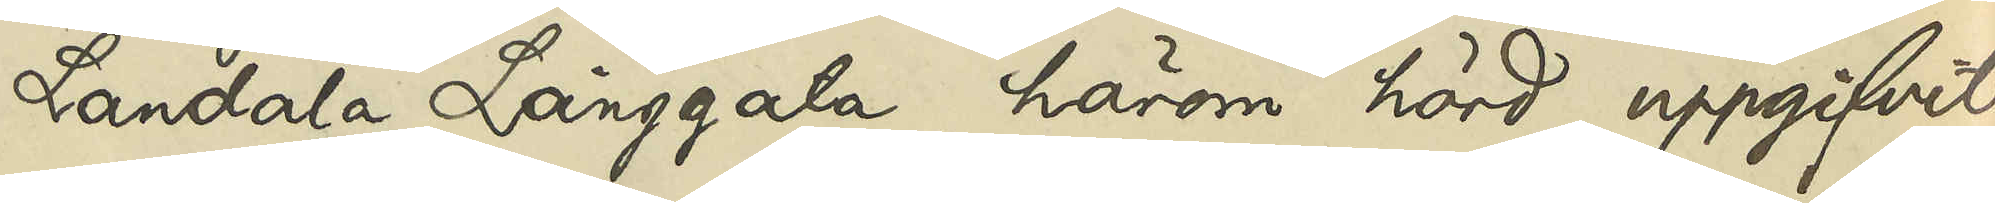Landala Långgata härom hörd uppgifvit,
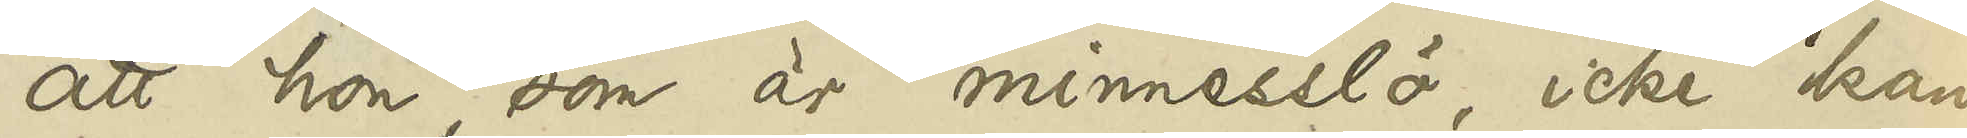att hon, som är minnesslö, icke kan
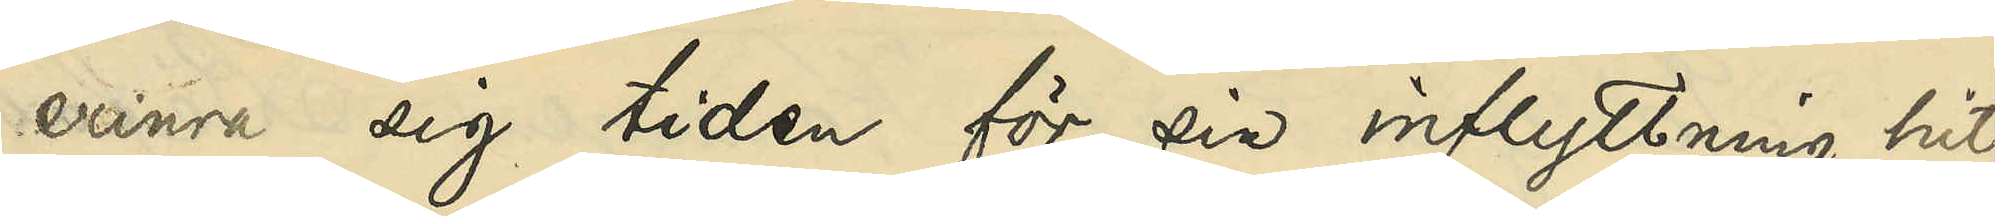erinra sig tiden för sin inflyttning hit,
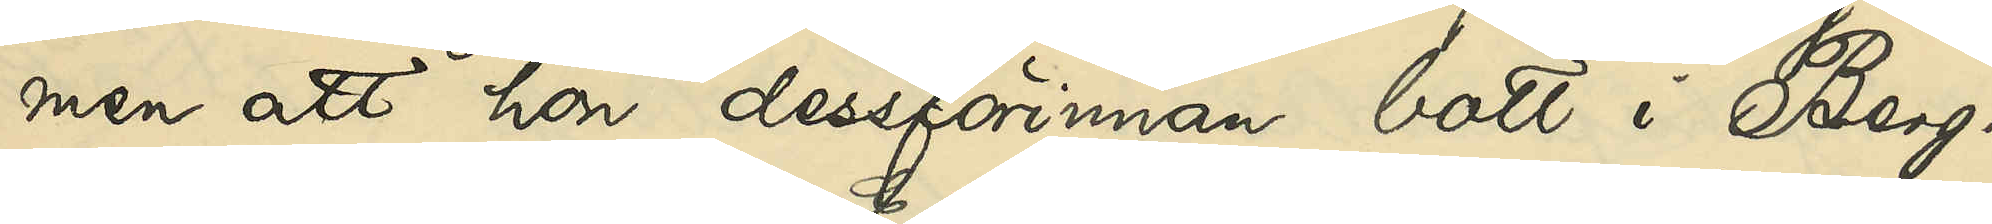men att hon dessförinnan bott i Berg¬
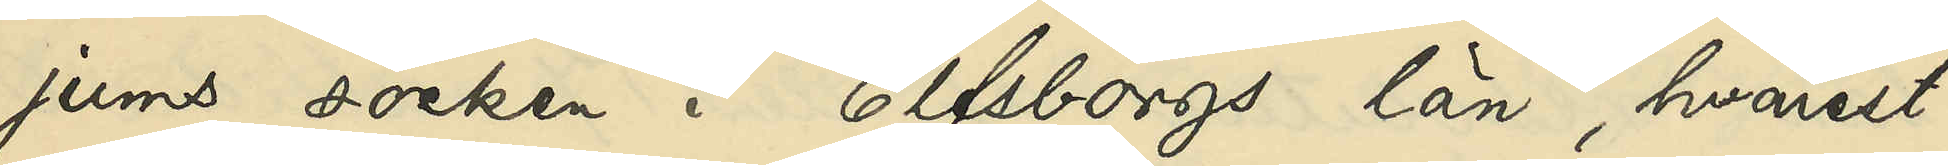jums socken i Elfsborgs län, hvarest
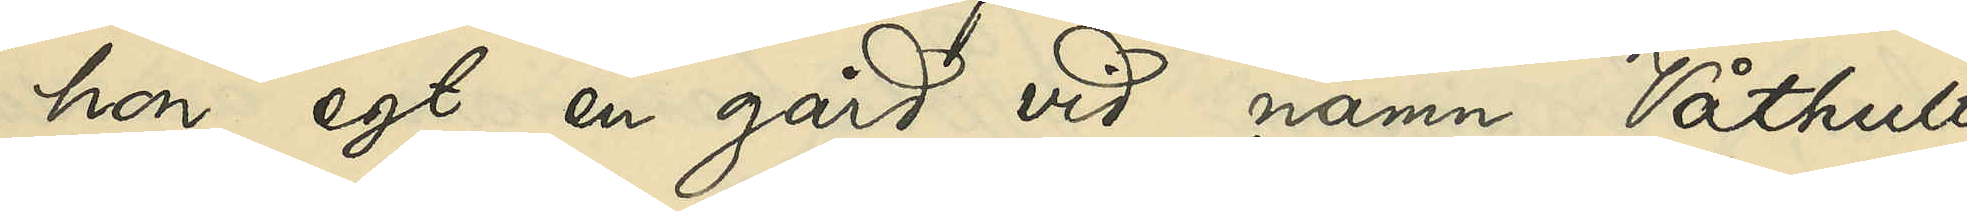hon egt en gård vid namn Våthult,
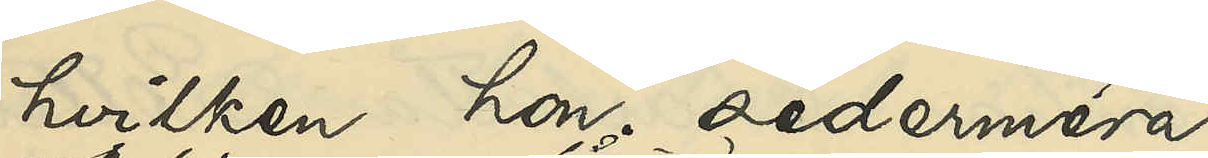hvilken hon sedermera
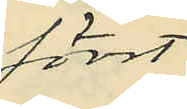först
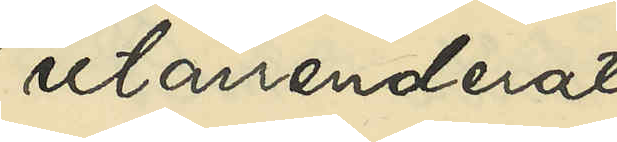utarrenderat
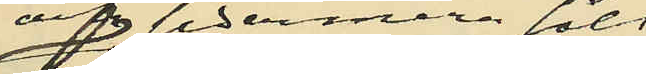och sedermera sålt
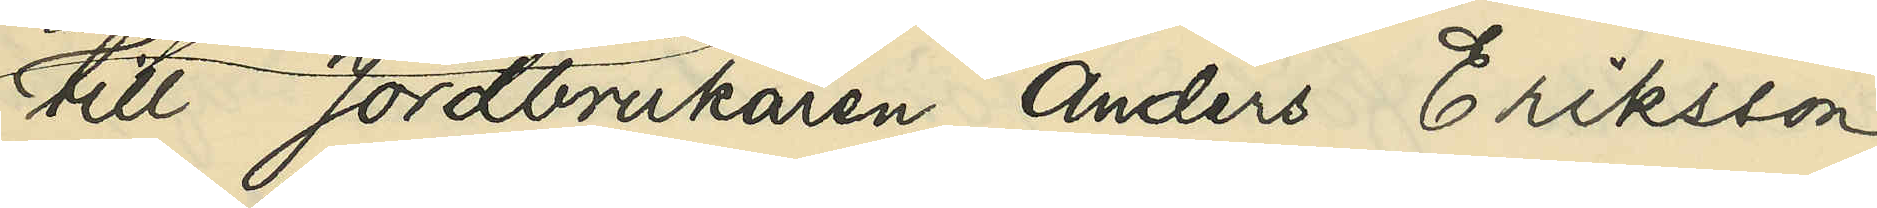till Jordbrukaren Anders Eriksson,
